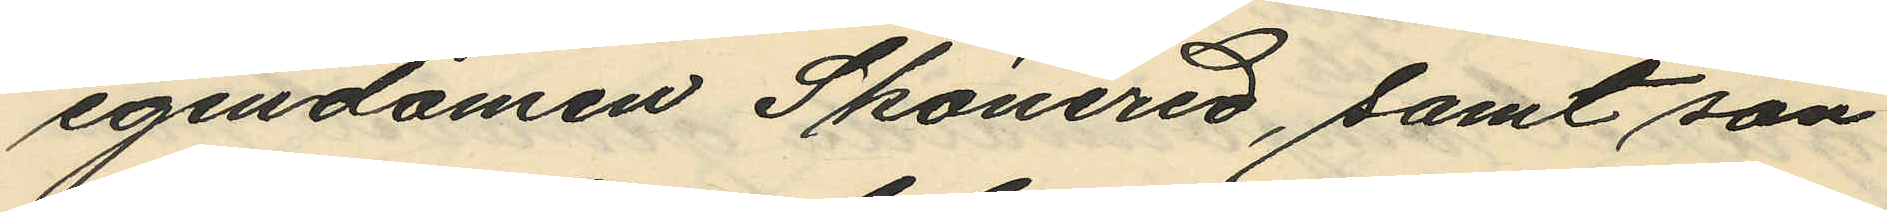egendomen Skönered, samt son
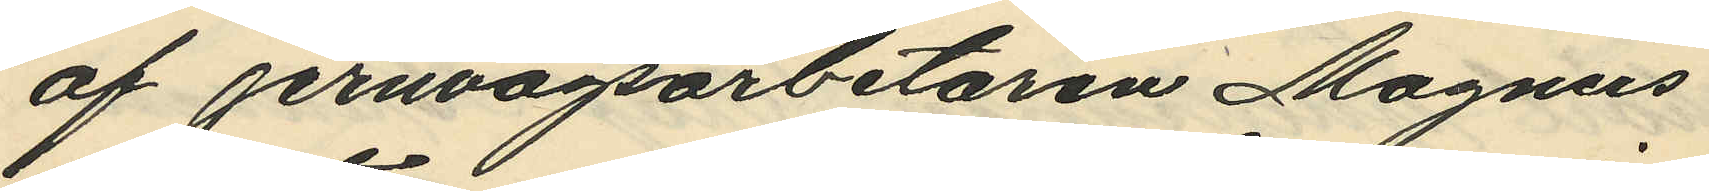af jernvägsarbetaren Magnus
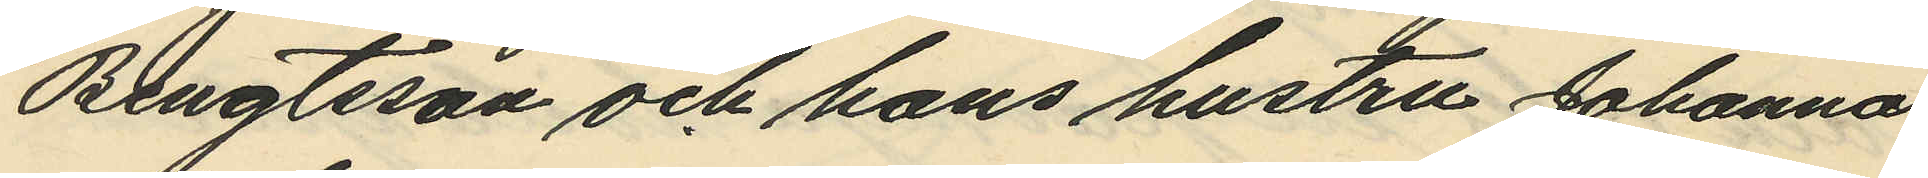Bengtsson och hans hustru Johanna
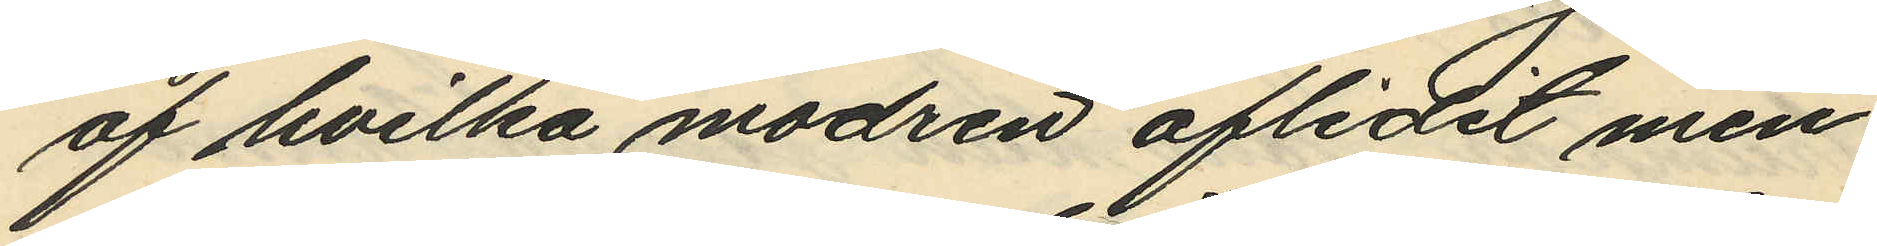af hvilka modren aflidit men
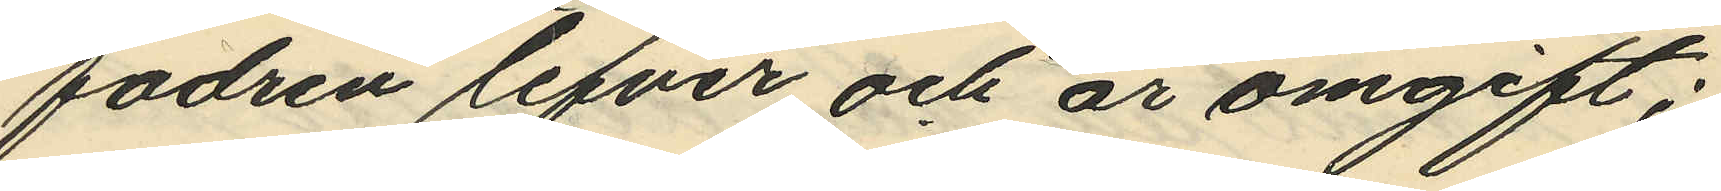fadren lefver och är omgift:
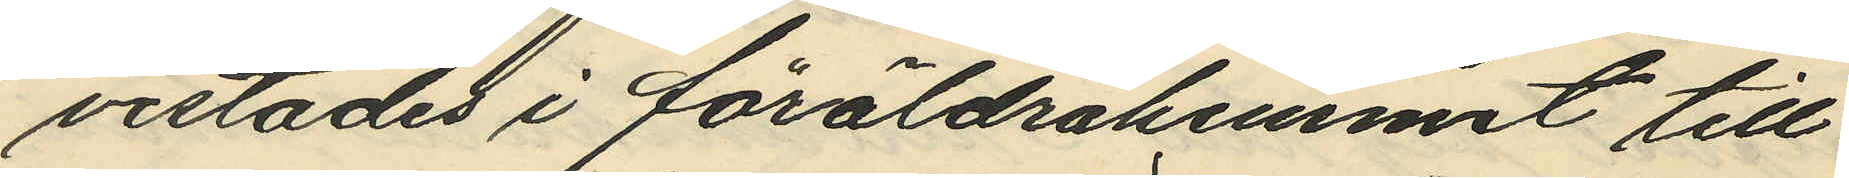vistades i föräldrahemmet till
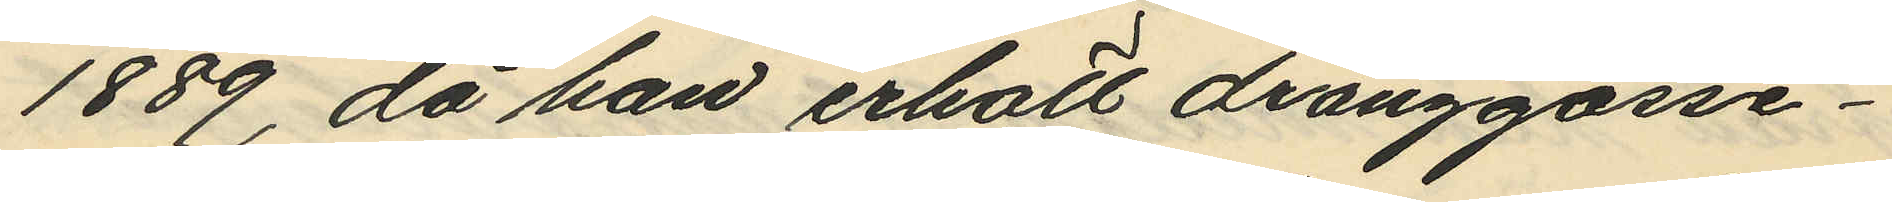1889, då han erhöll dränggosse¬
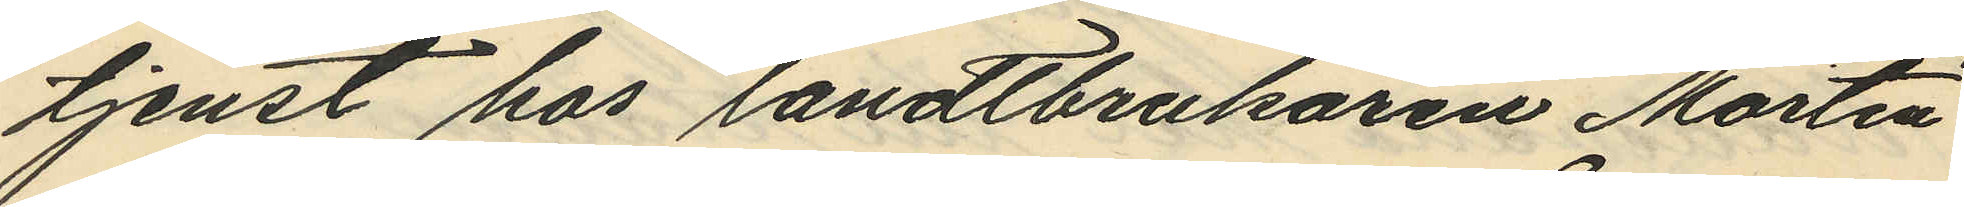tjenst hos landtbrukaren Martin
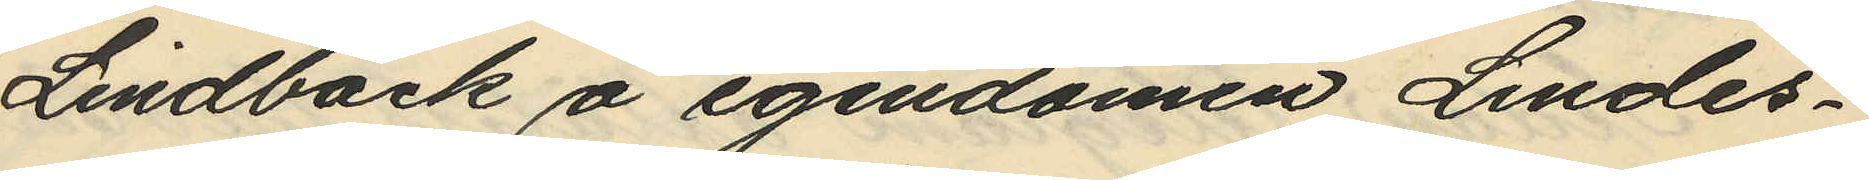Lindbäck å egendomen Lindes¬
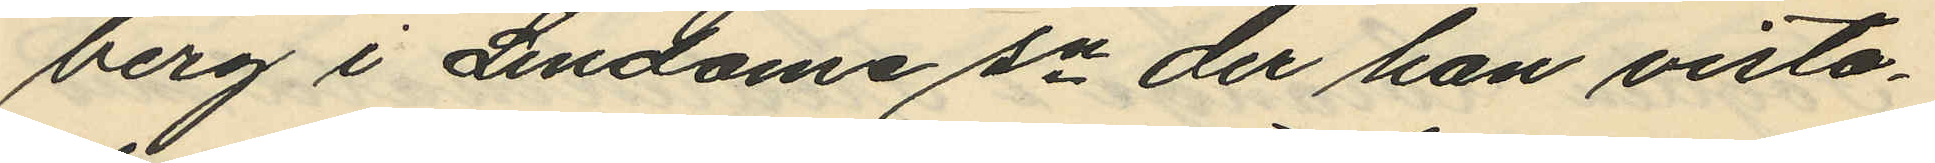berg i Lindome sn der han vista¬
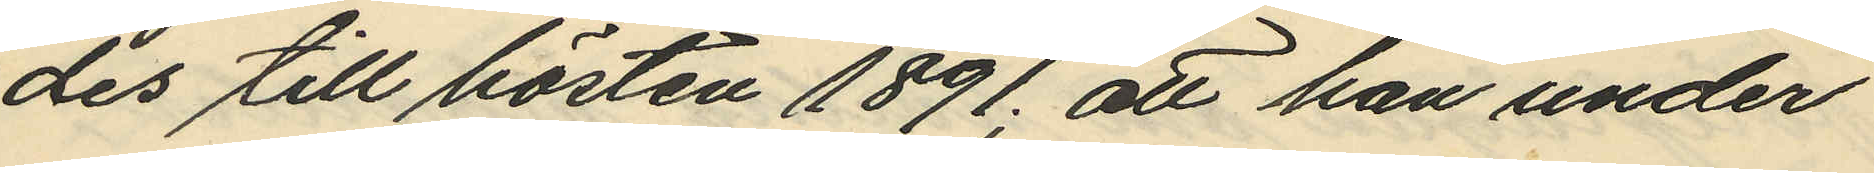des till hösten 1891; att han under
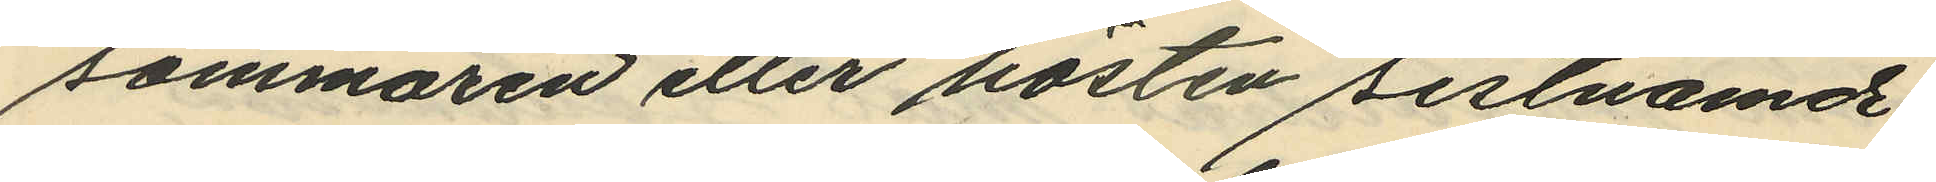sommaren eller hösten sistnämde
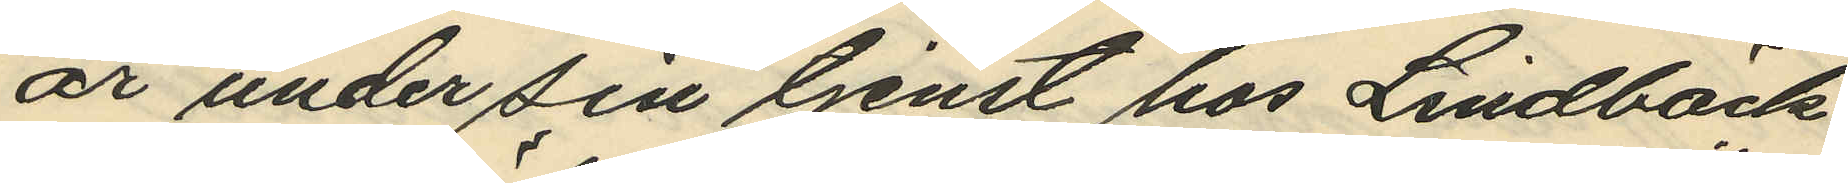år under sin tjenst hos Lindbäck
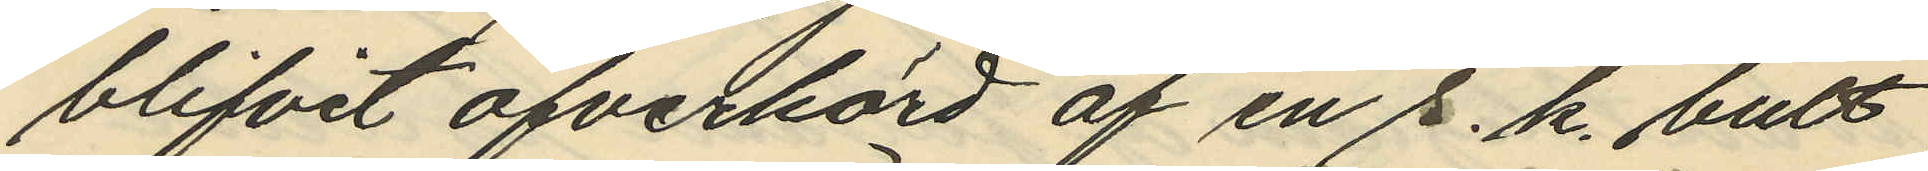blifvit öfverkörd af en s. k. bult
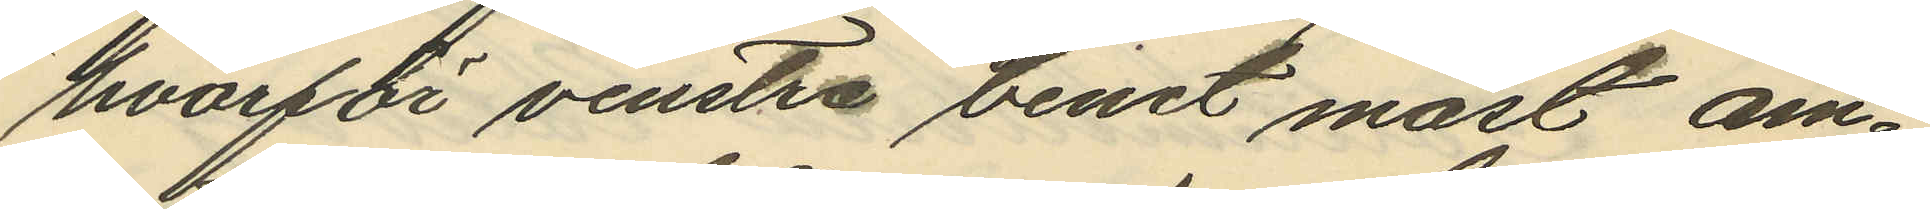hvarför venstra benet måst am¬
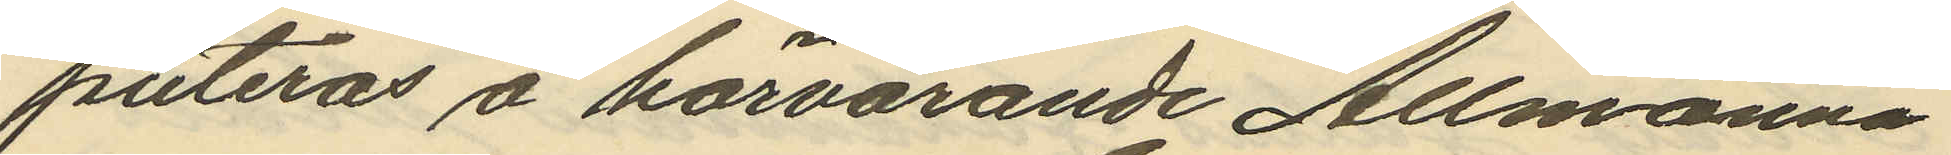puteras å härvarande Allmänna
